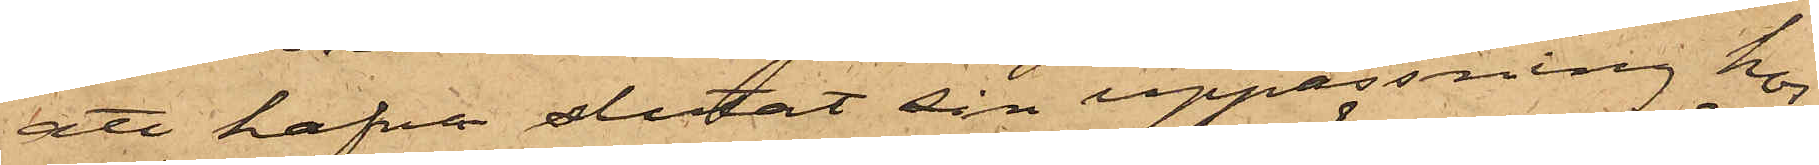att hafva slutat sin uppassning hos
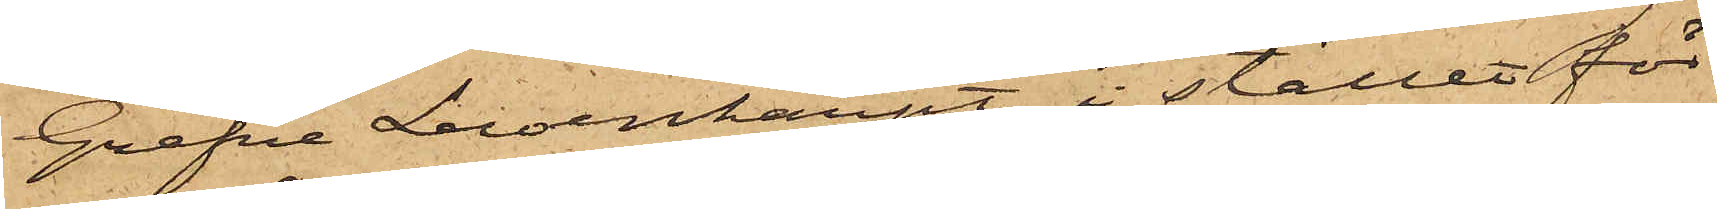Grefve Lewenhaupt, i stället för
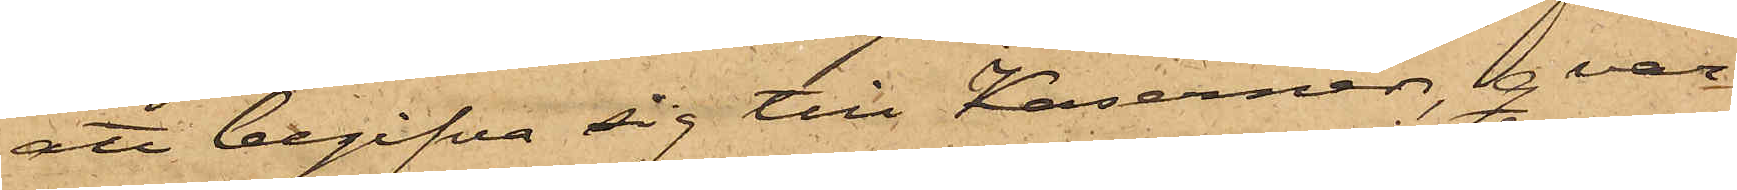att begifva sig till Kasernen, qvar¬
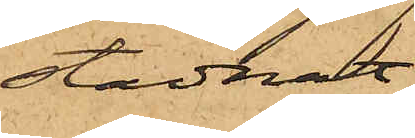stadnat
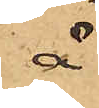å
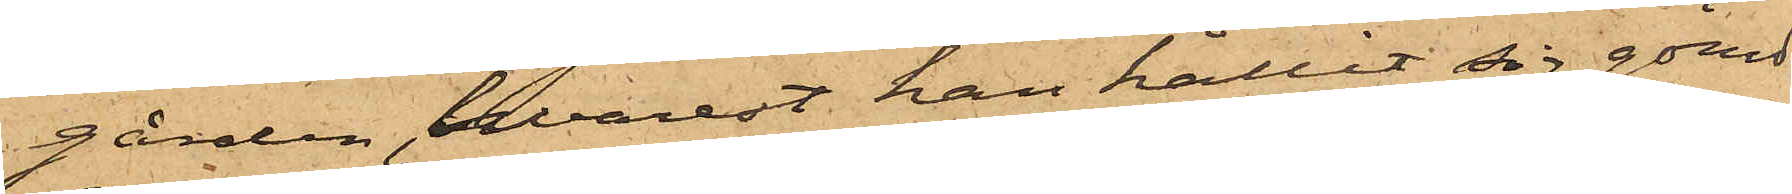gården, hvarest han hållit sig gömd
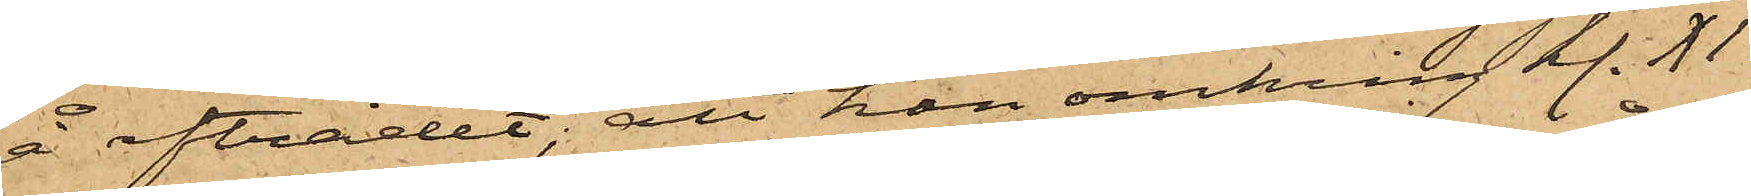å afträdet; att han omkring kl. XI
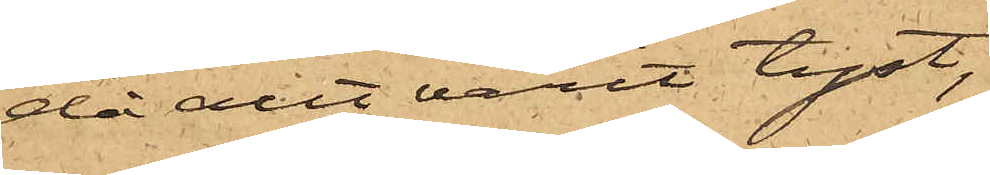då allt varit tyst,
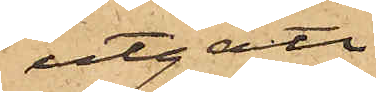utgått
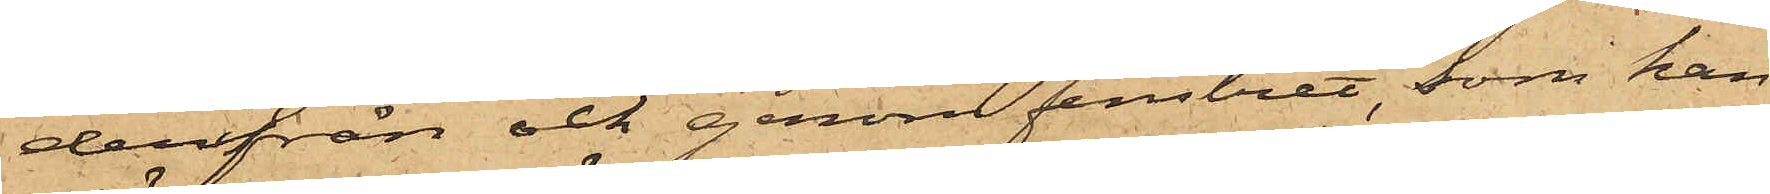derifrån och genom fenstret, som han
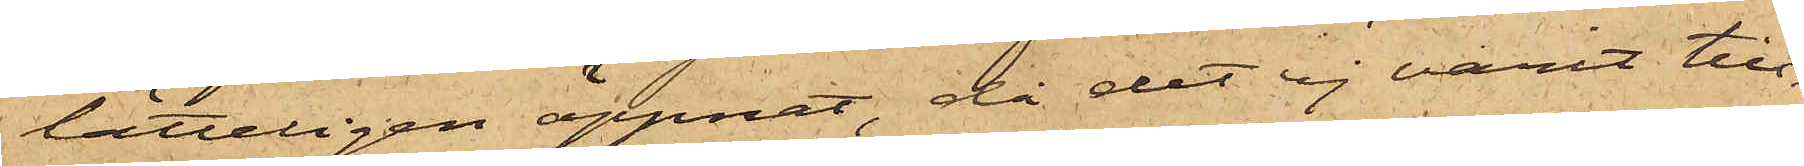lätteligen öppnat, då det ej varit till¬
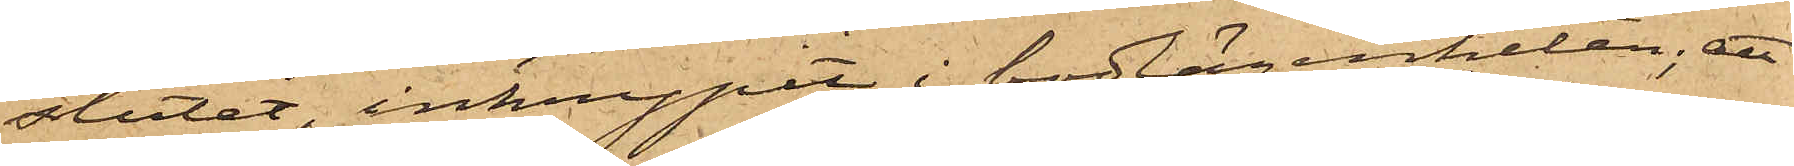slutet, inkrupit i bodlägenheten; att
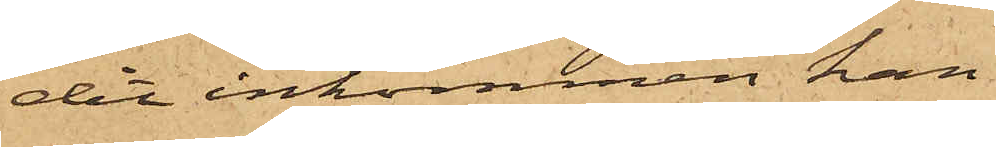det inkommen han
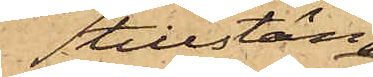tillstängt
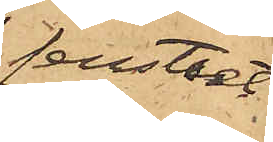fenstret
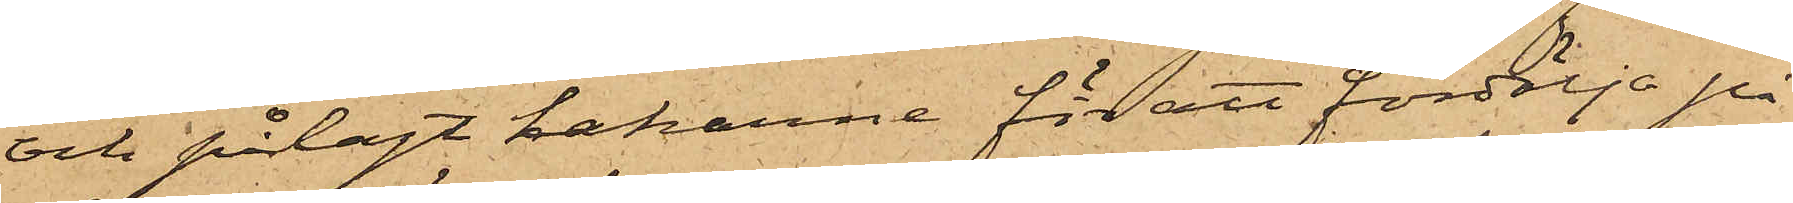och pålagt hakarne för att fördölja på
